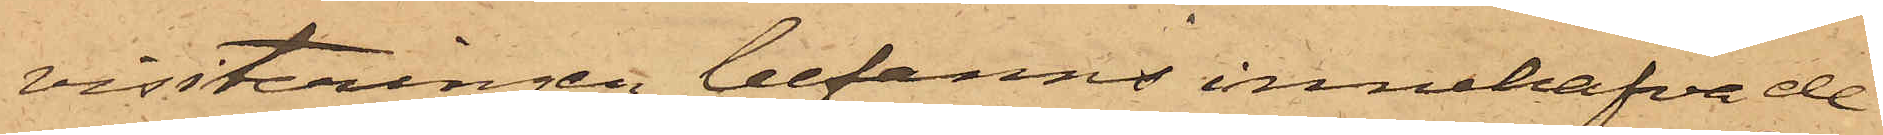visiteringen befanns innehafva de
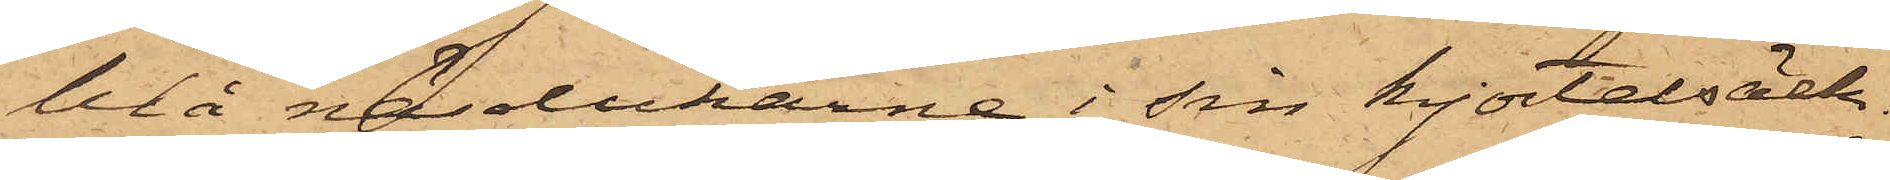blå näsdukarne i sin kjortelsäck.
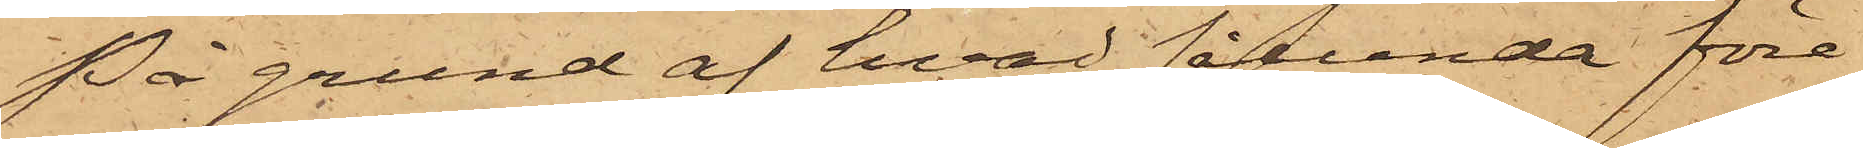På grund af hvad sålunda före¬
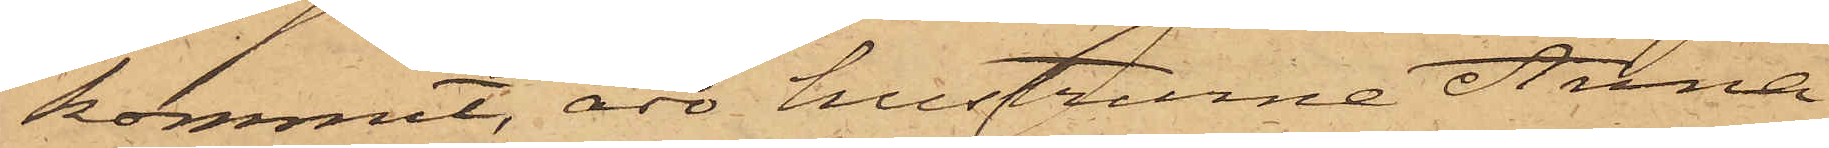kommit, äro hustrurne Anna
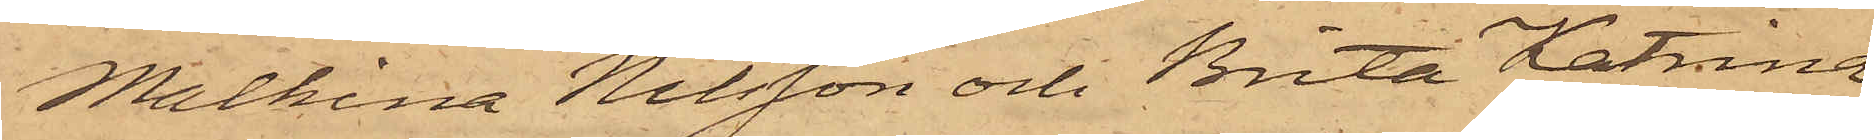Malkina Nilsson och Brita Katrina
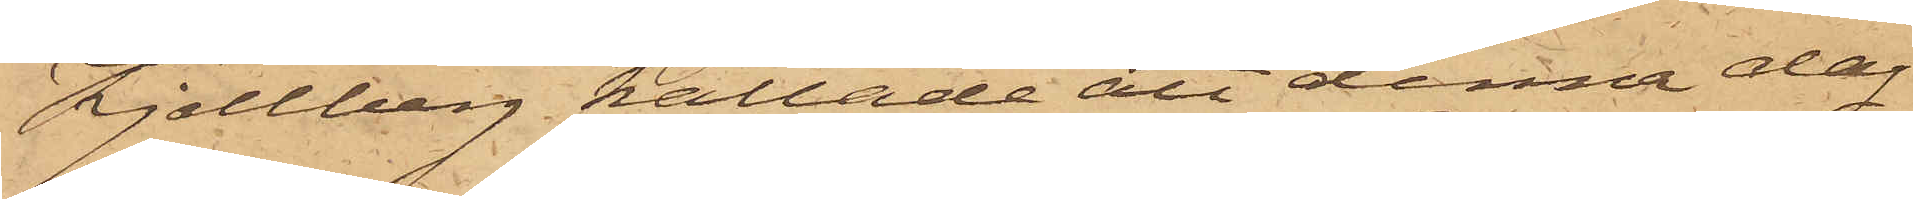Kjellberg kallade att denna dag
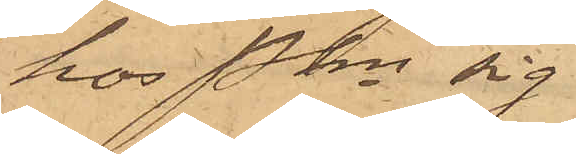hos Pkn sig
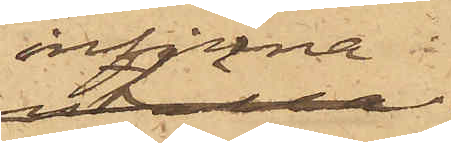infinna.
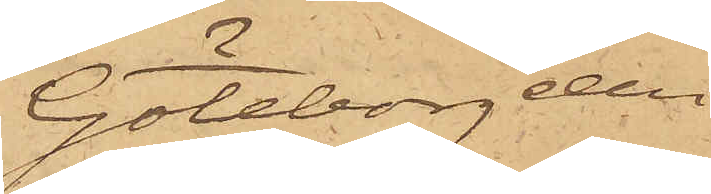Göteborg den
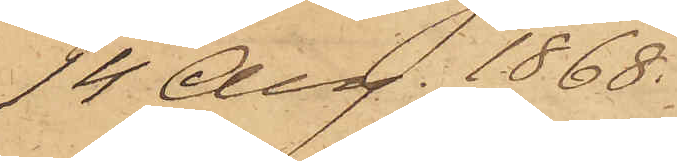14 Aug. 1868.
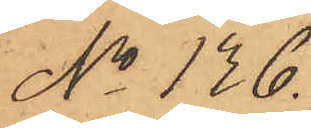No 136.
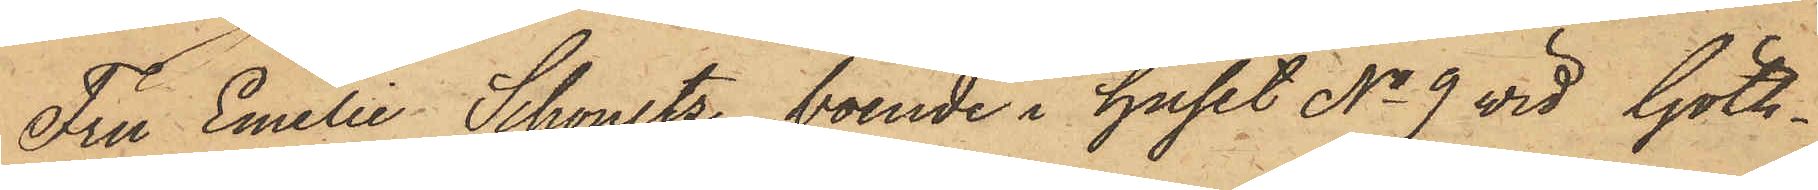Fru Emilie Schoultz, boende i huset No 9 wid Göth¬
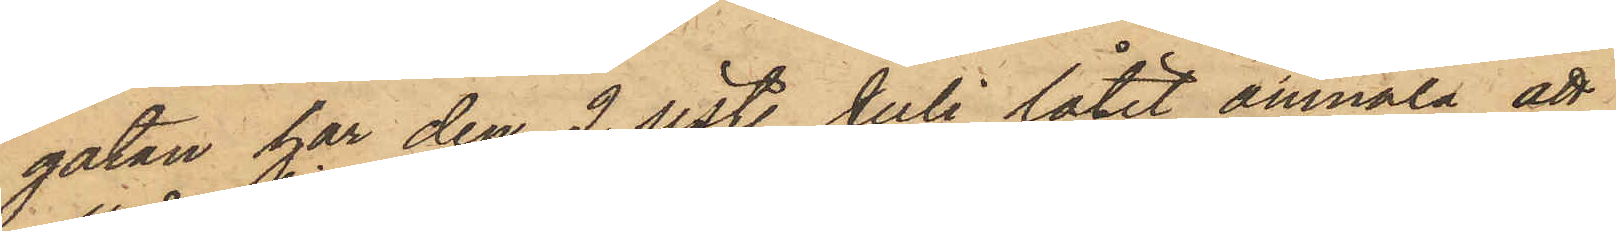gatan har den 2 sistl. Juli låtit anmäla, att
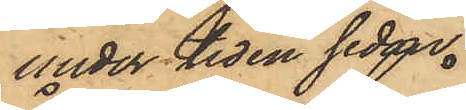under tiden sedan
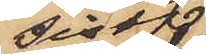sistl.
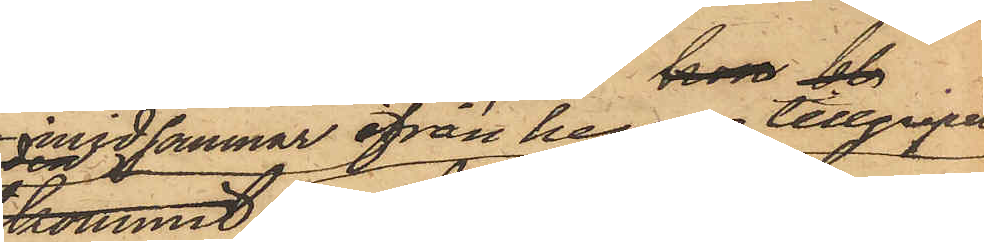midsommar ifrån henne tillgripits
